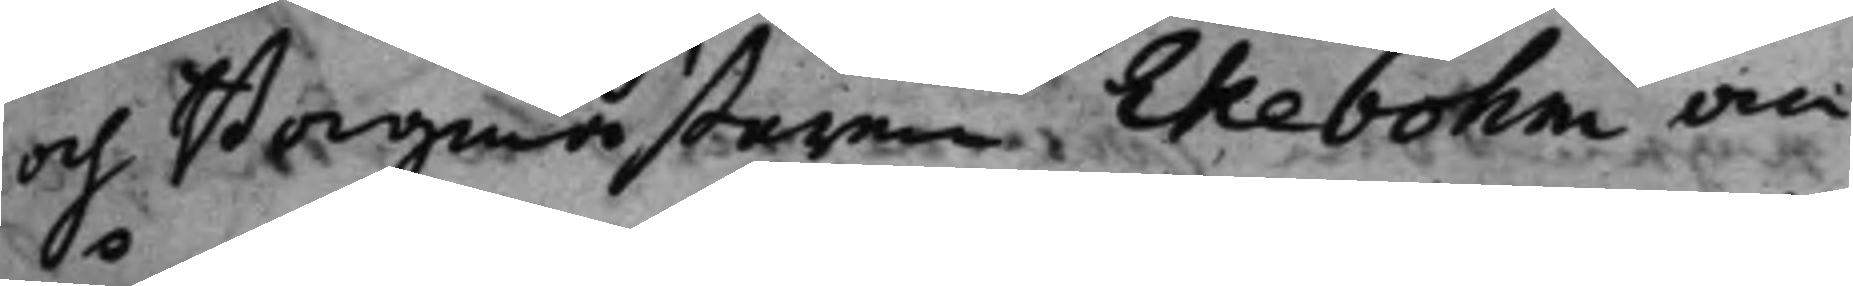och Borgmästaren Ekebohm an¬
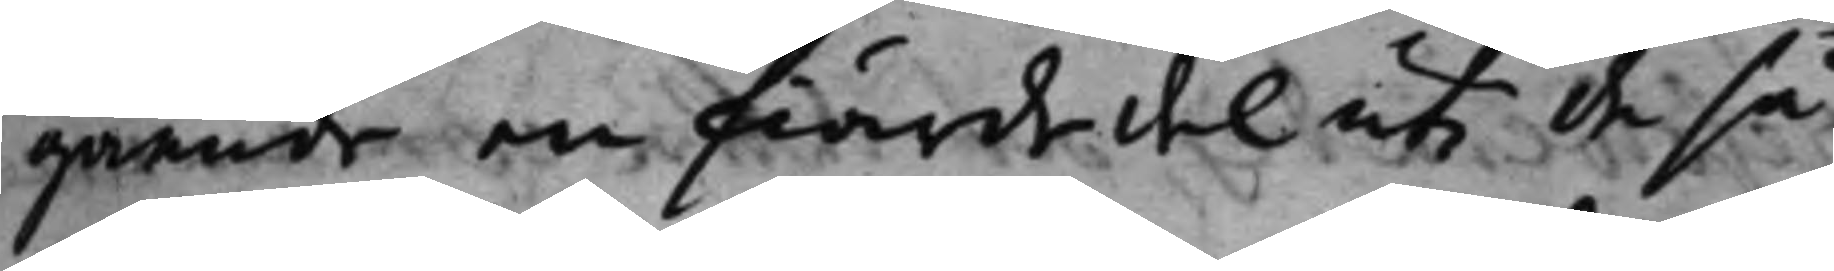gående en fiärdedel uti de så
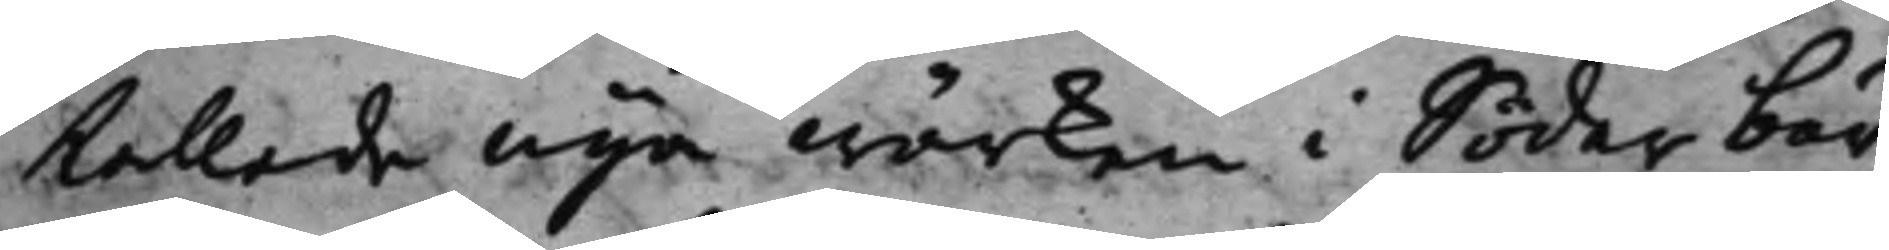kallade nya wärken i Söderbär¬
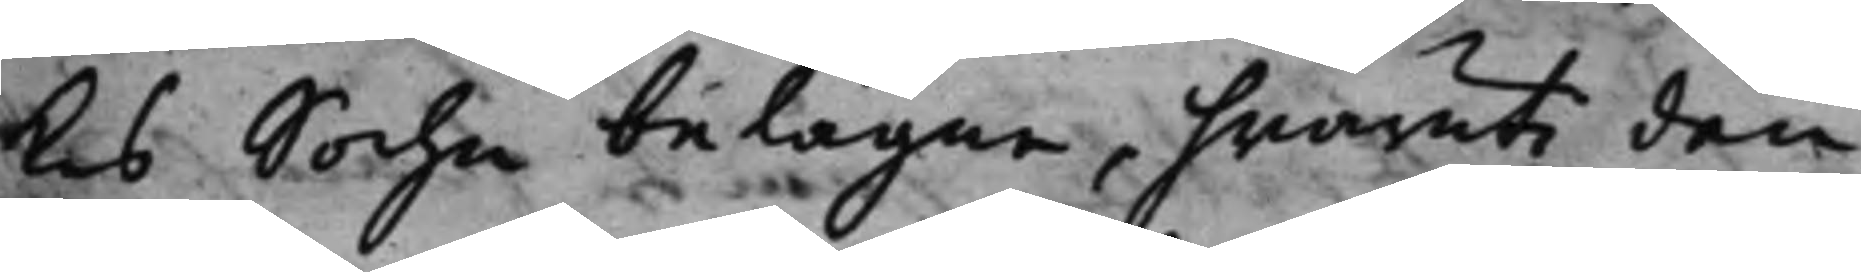kes Sochn belägne, hwaruti den
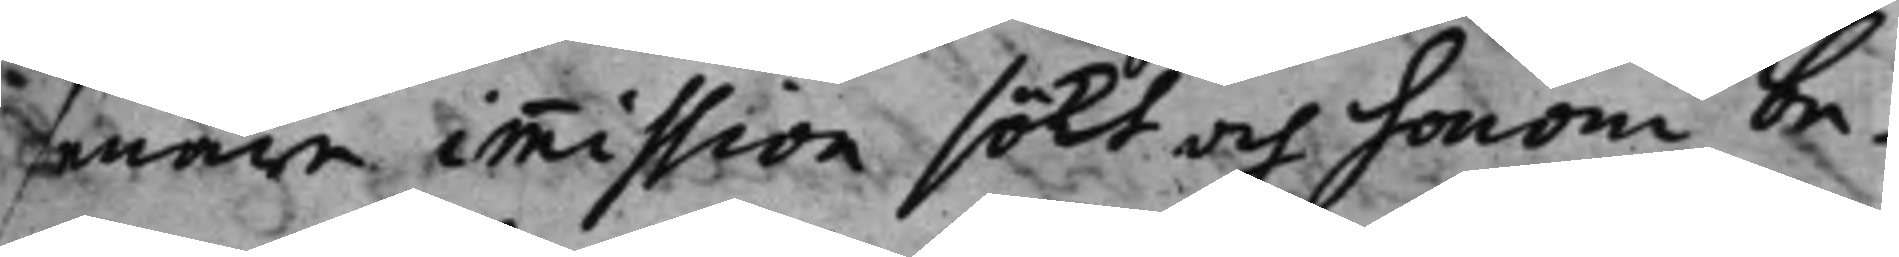senare immission sökt och honom be¬
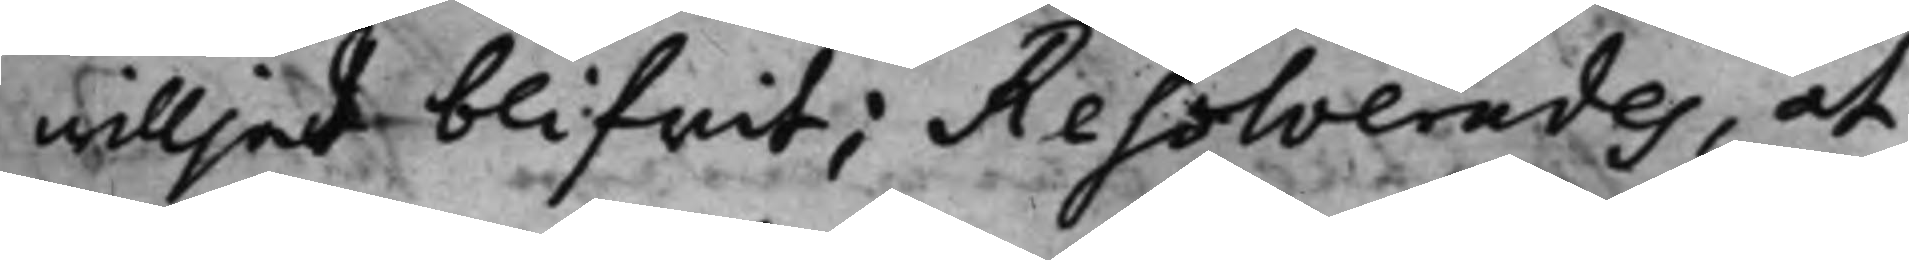willjat blifwit; Resolverades, at
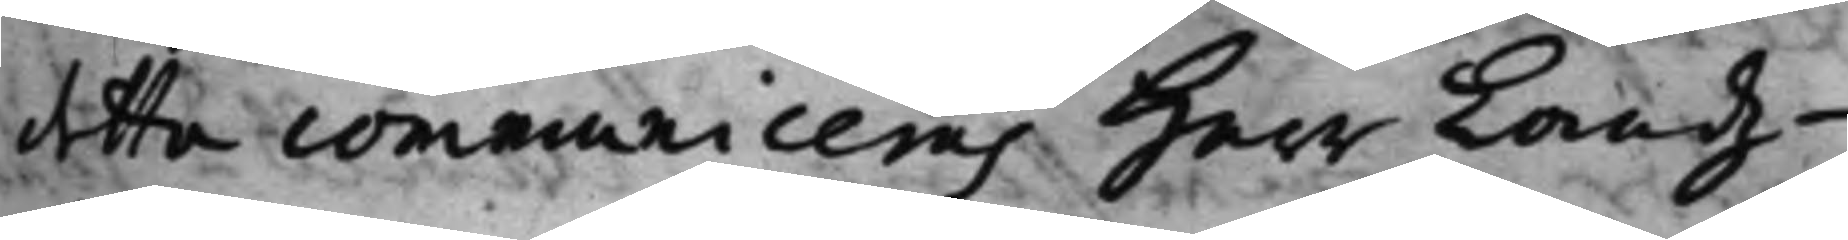detta communiceras Herr Landz¬
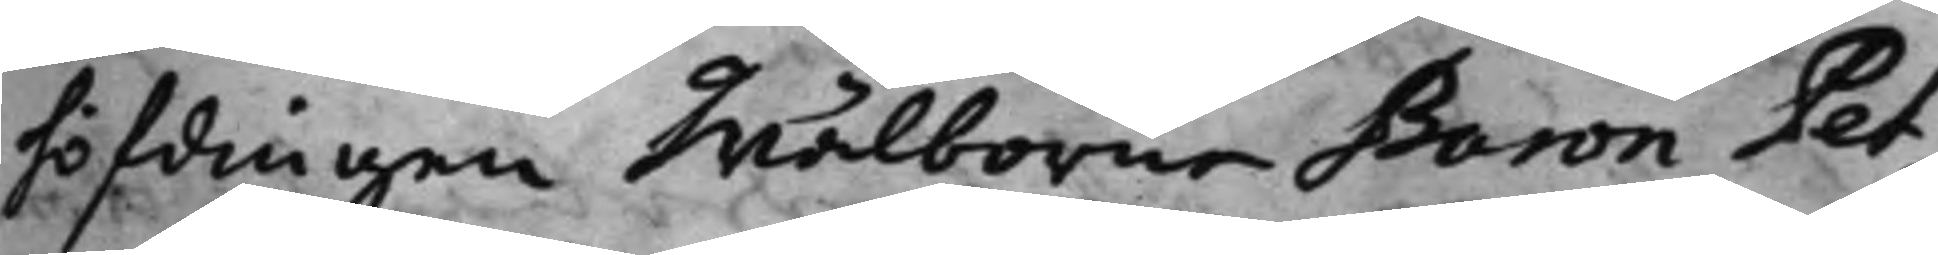höfdingen Wälborne Baron Pet¬
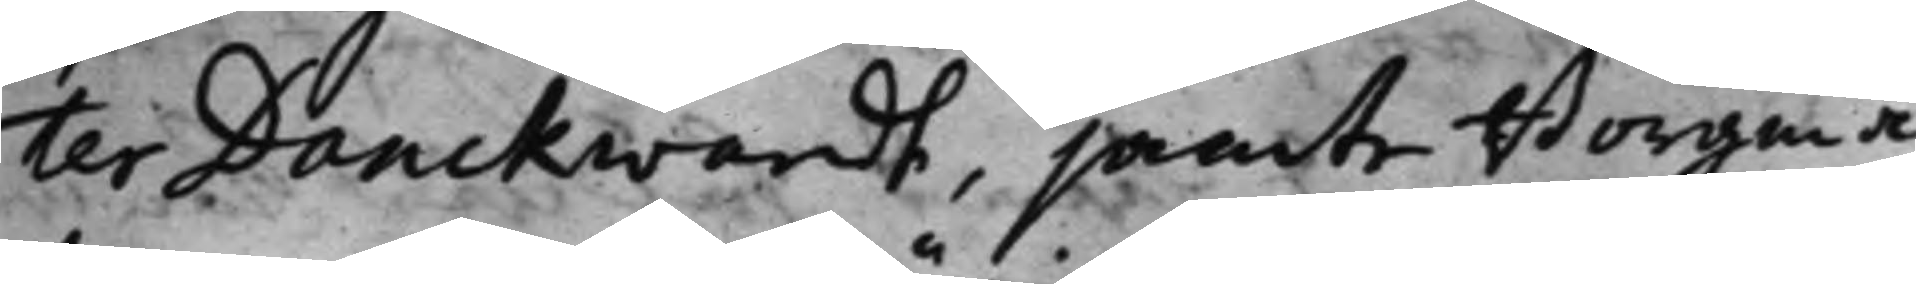ter Danckwardt, jämte Borgmä¬
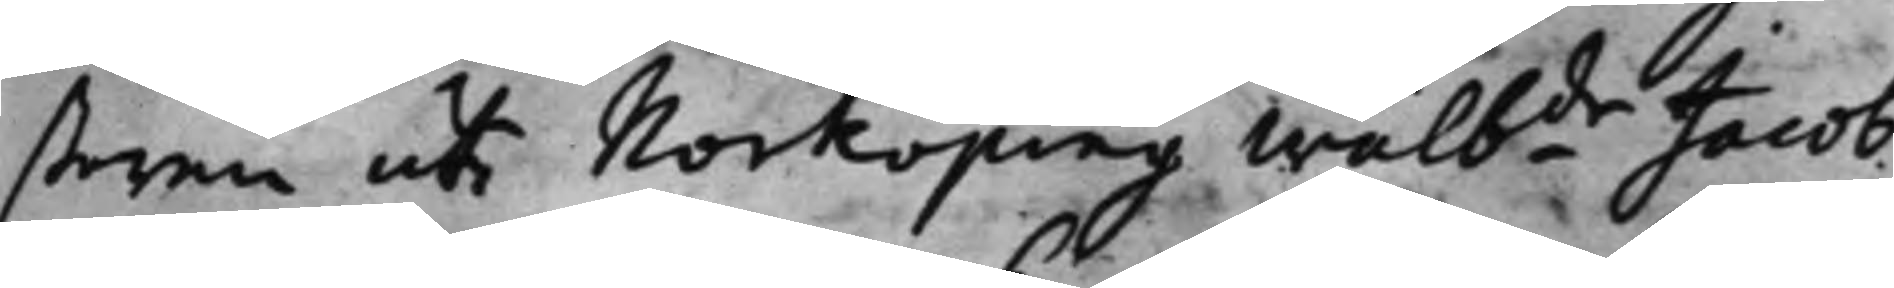staren uti Norköping Wälbde Jacob
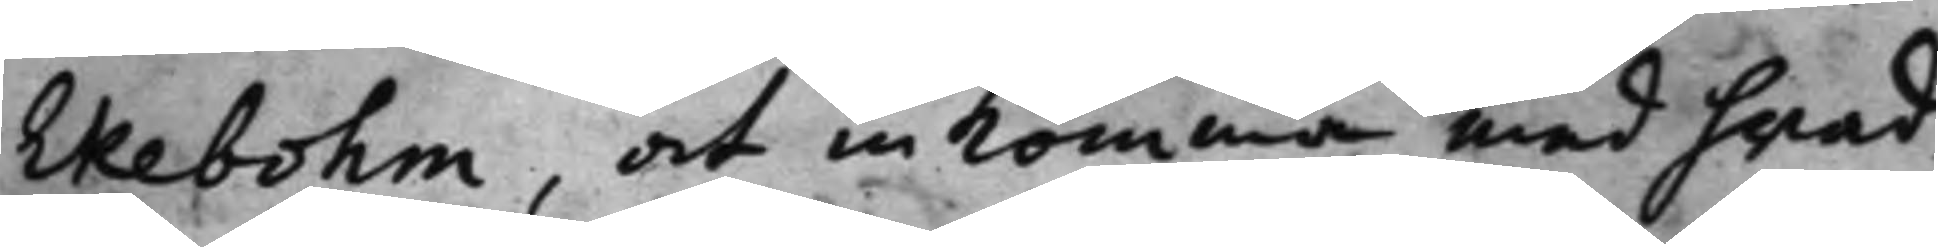Ekebohm, at in komma med hwad
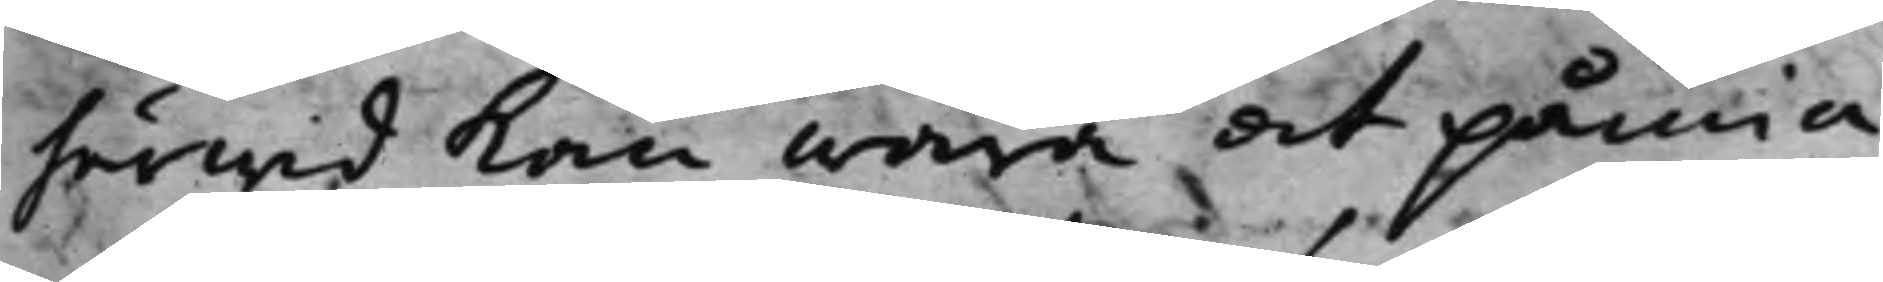härwid kan wara at påmin¬
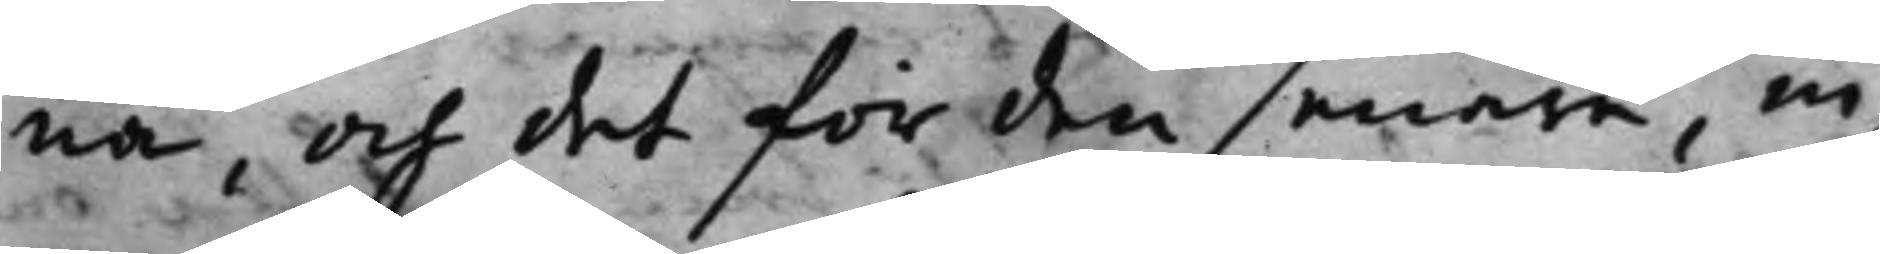na, och det för den senare, in
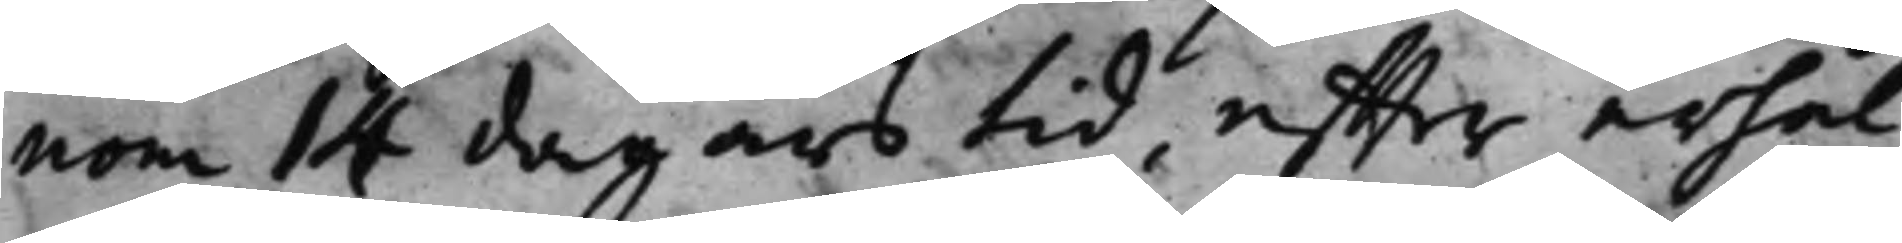nom 14 dagars tid, effter erhål¬
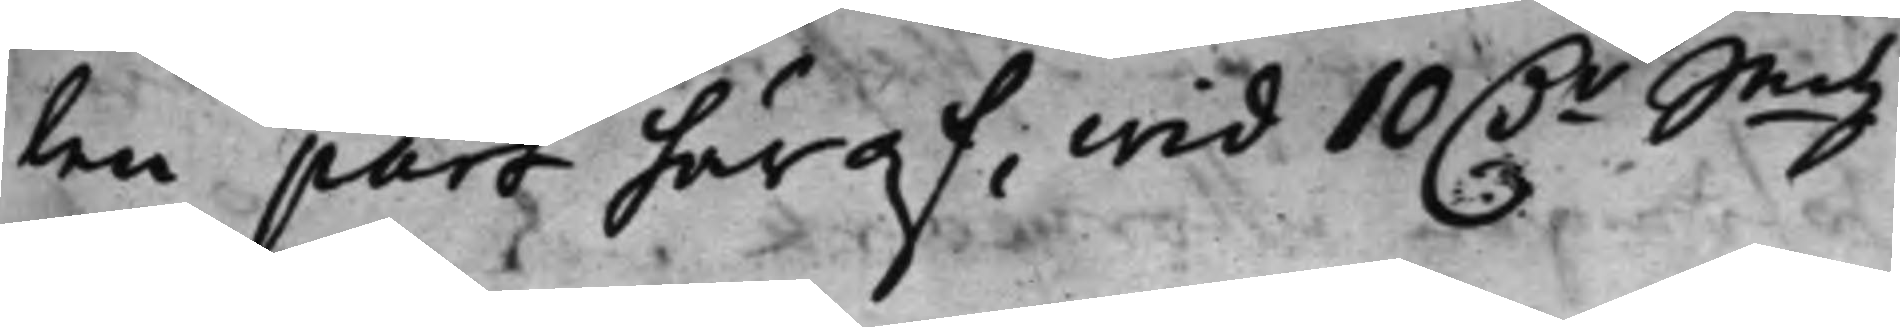len part häraf, wid 10 Dr Smtz
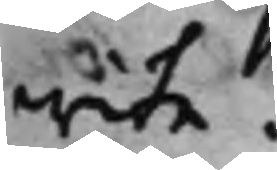wite.
